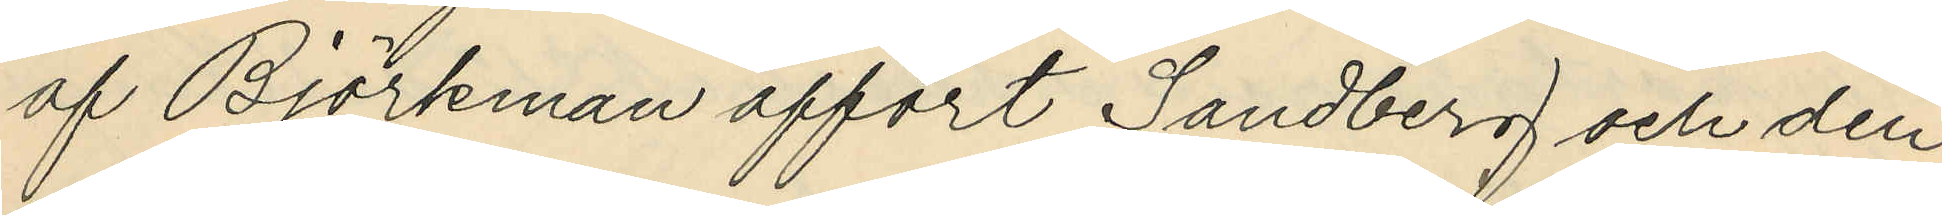af Björkman affört Sandberg och den
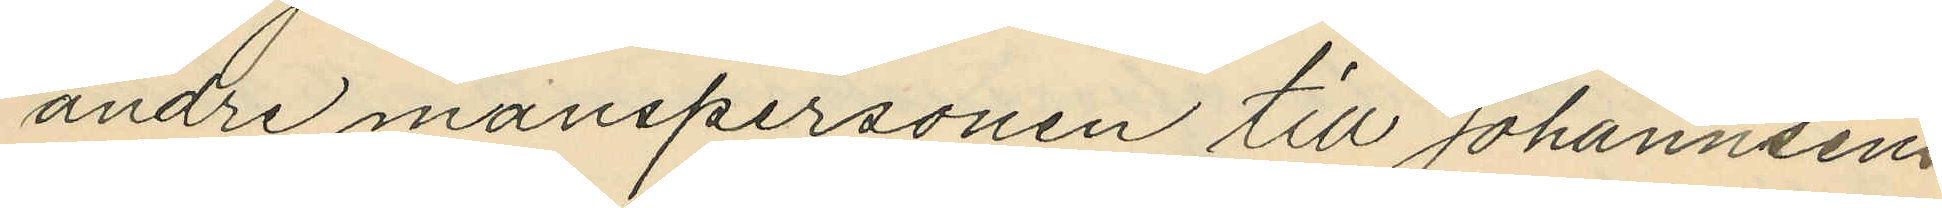andre manspersonen till Johannsens
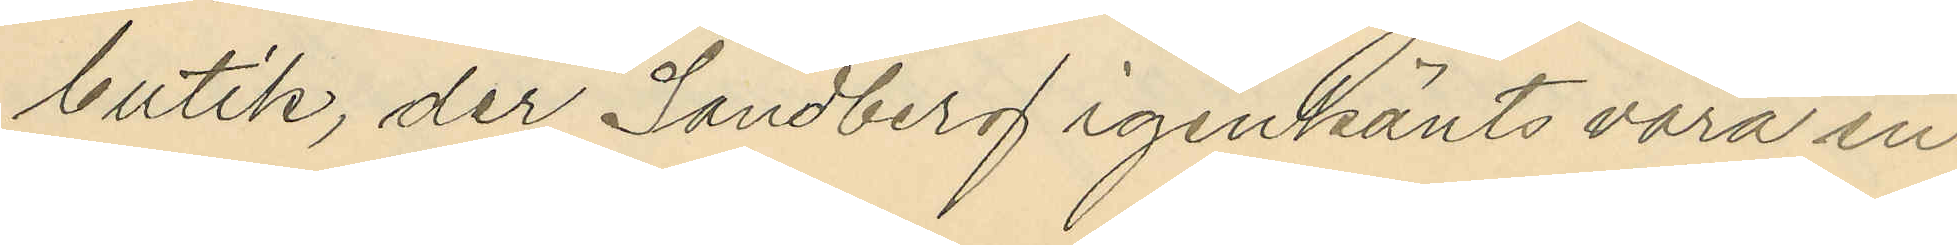butik, der Sandberg igenkänts vara en
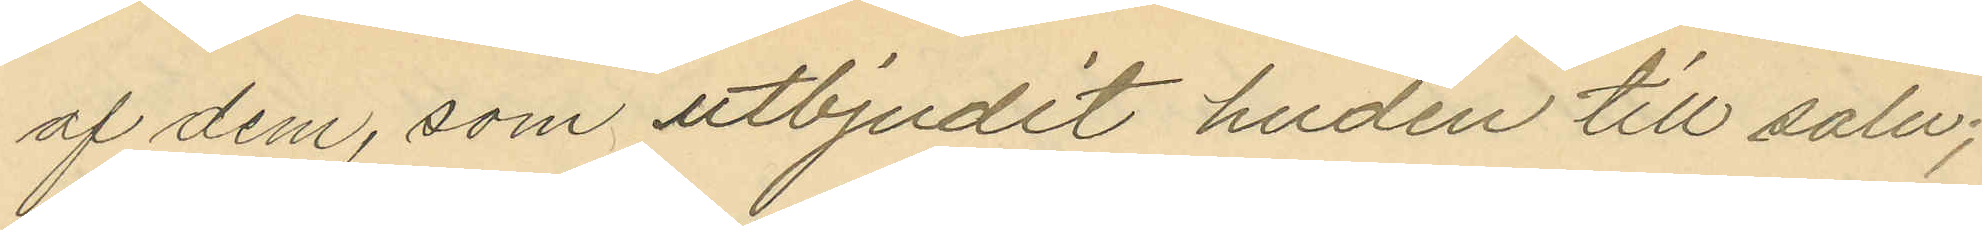af dem, som utbjudit huden till salu;
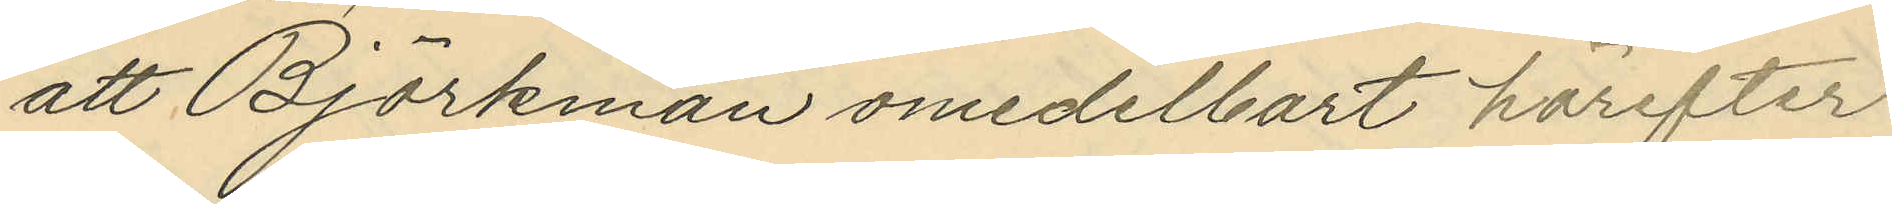att Björkman omedelbart härefter
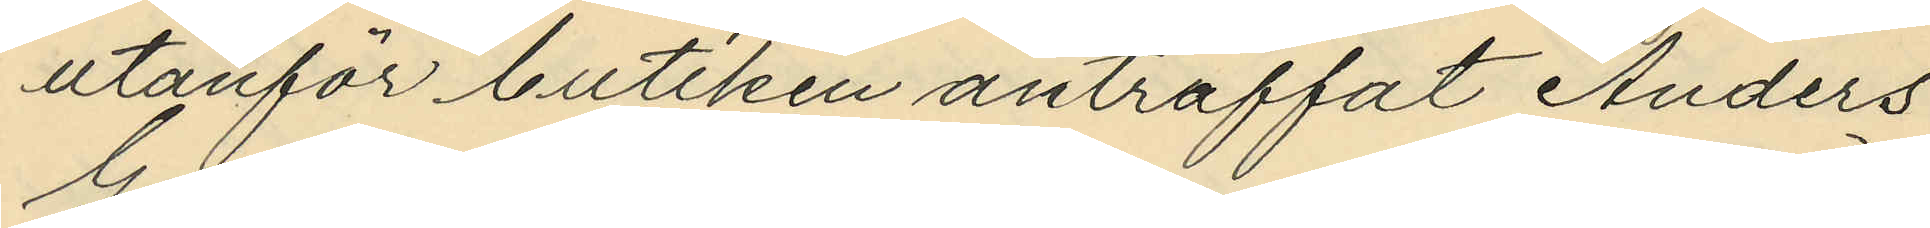utanför butiken anträffat Anders
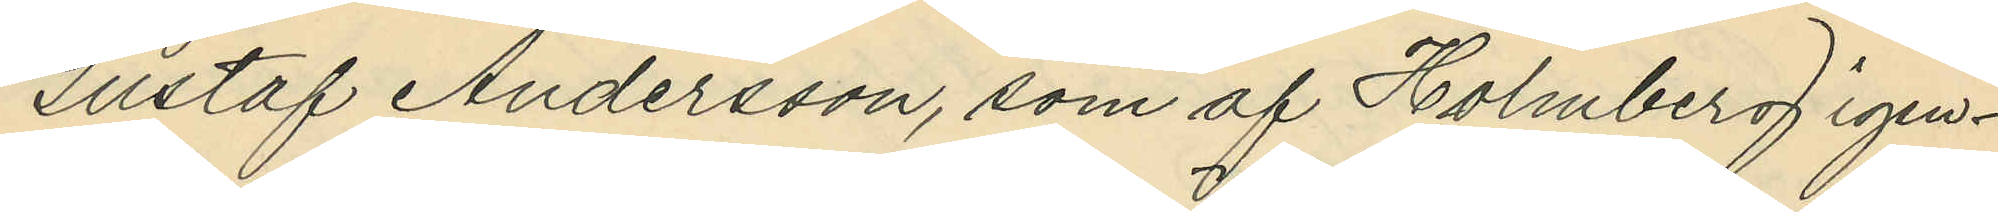Gustaf Andersson, som af Holmberg igen¬
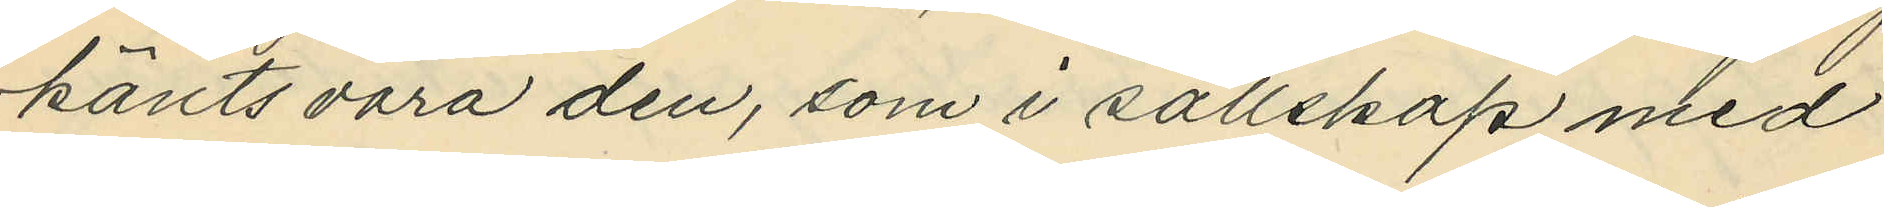känts vara den, som i sällskap med
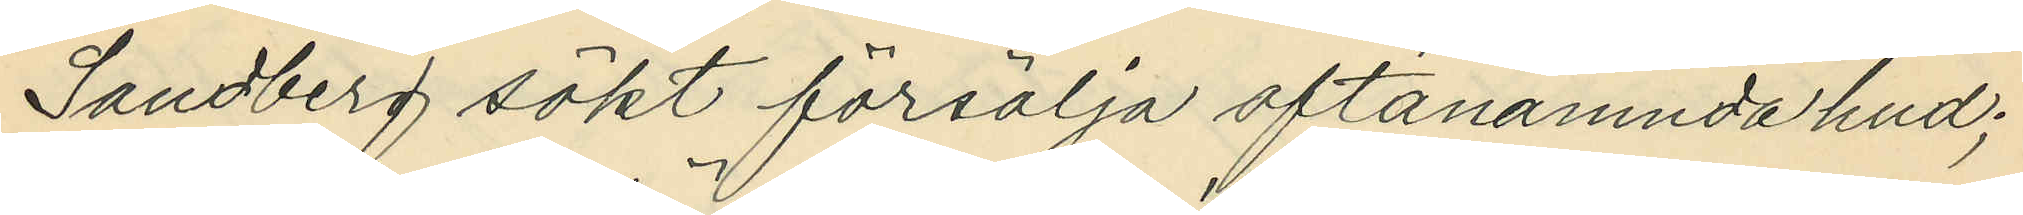Sandberg sökt försälja oftanämnda hud;
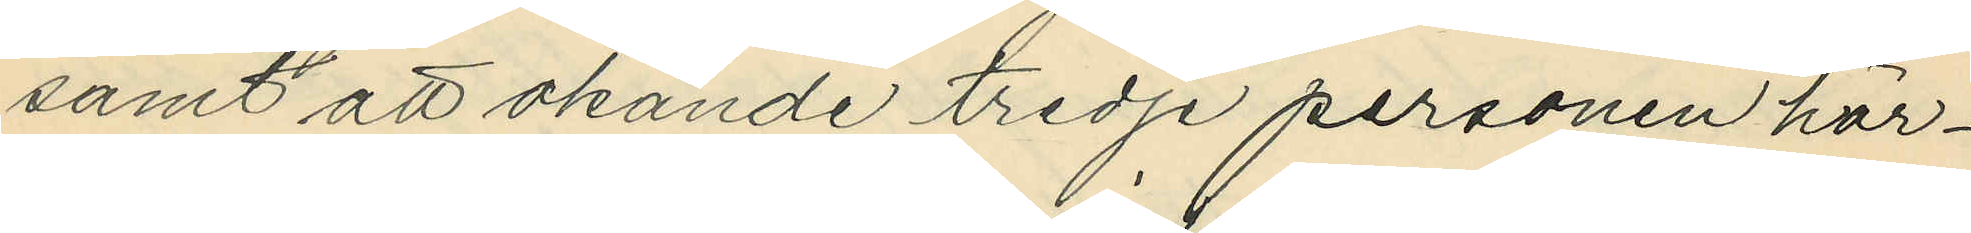samt att okände tredje personen här¬
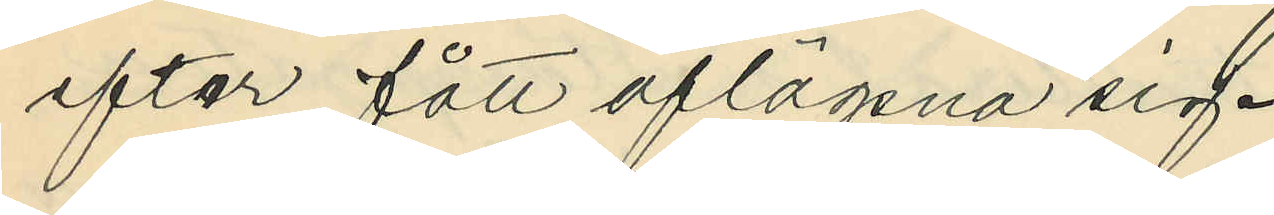efter fått aflägsna sig.
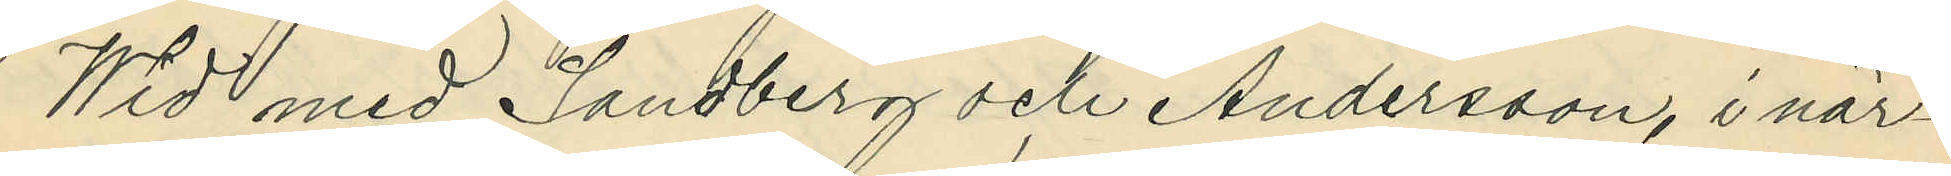Wid med Sandberg och Andersson, i när¬
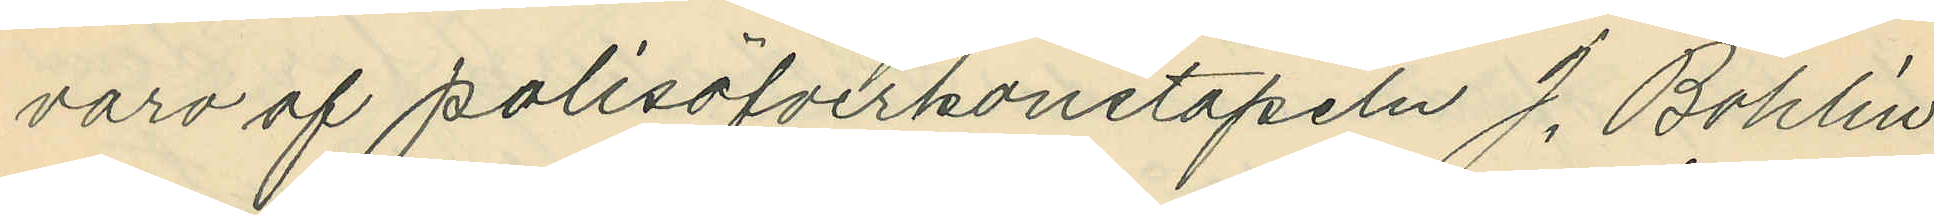varo af polisöfverkonstapeln J. Bohlin
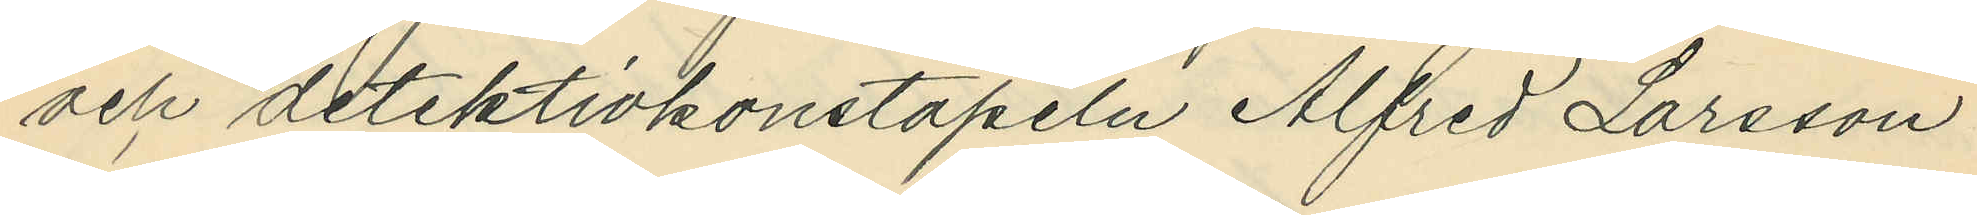och detektivkonstapeln Alfred Larsson
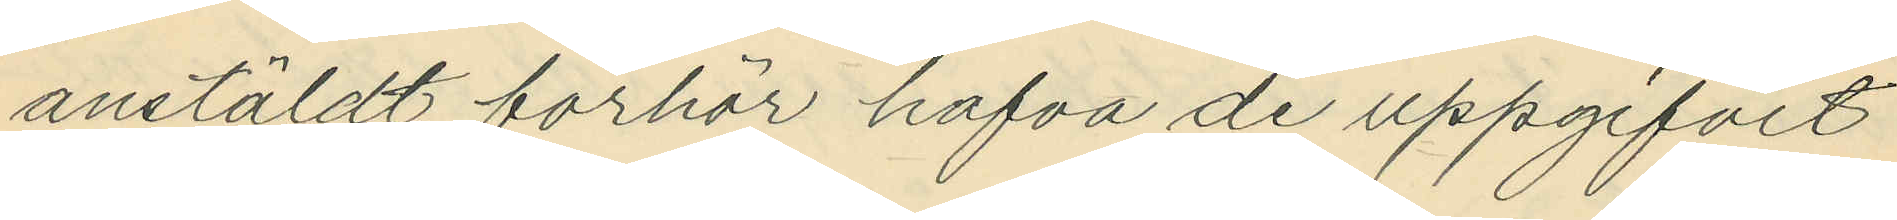anstäldt förhör hafva de uppgifvit
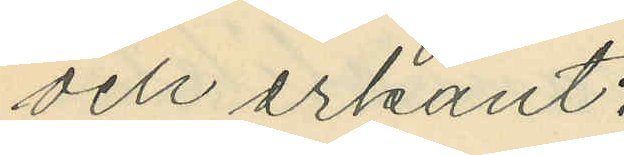och erkänt:
